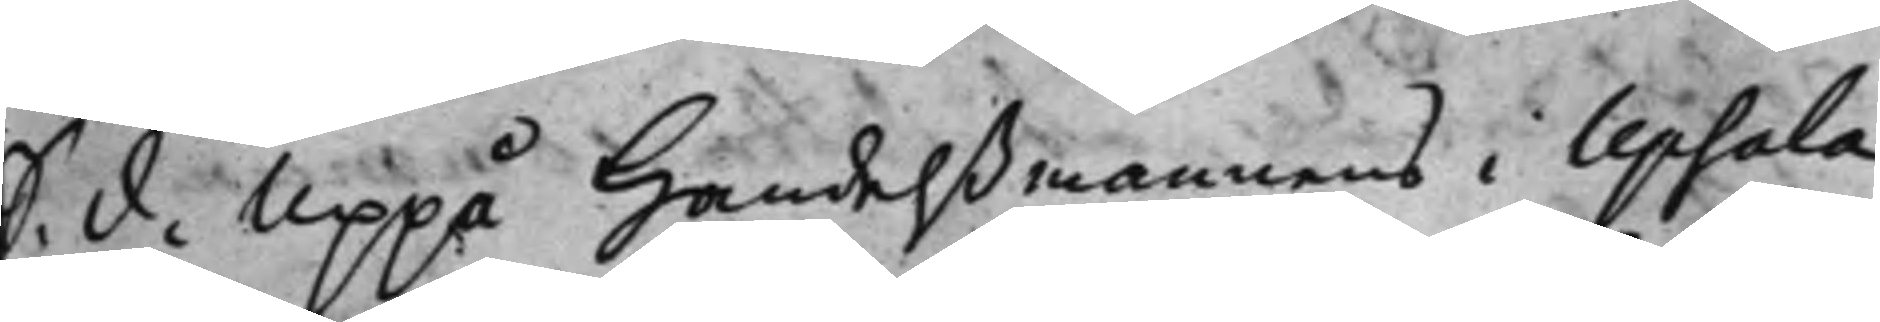S. d. Uppå Handelßmannens i Upsala
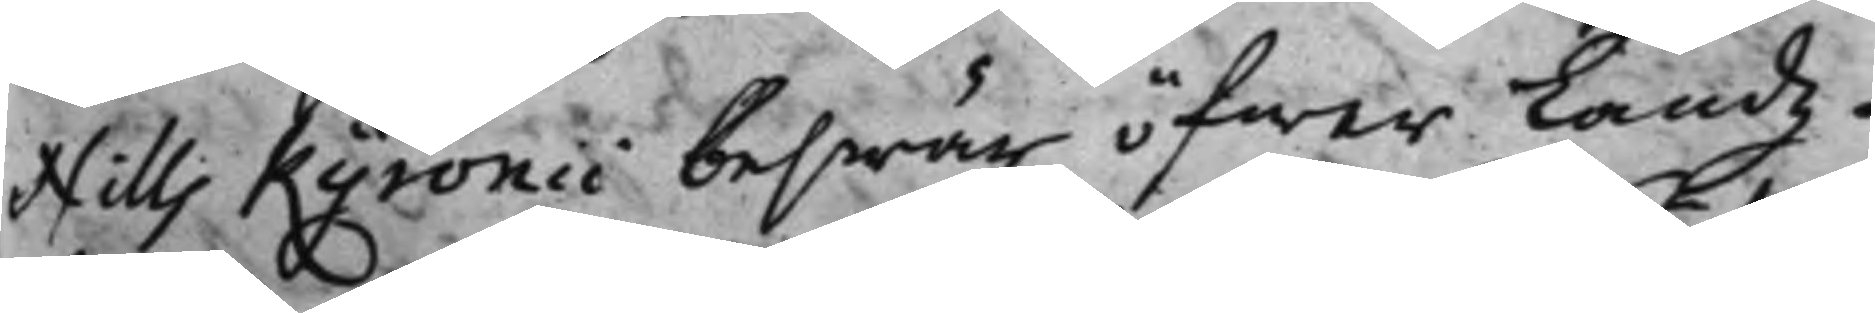Nills Kyronii beswär öfwer Landz¬
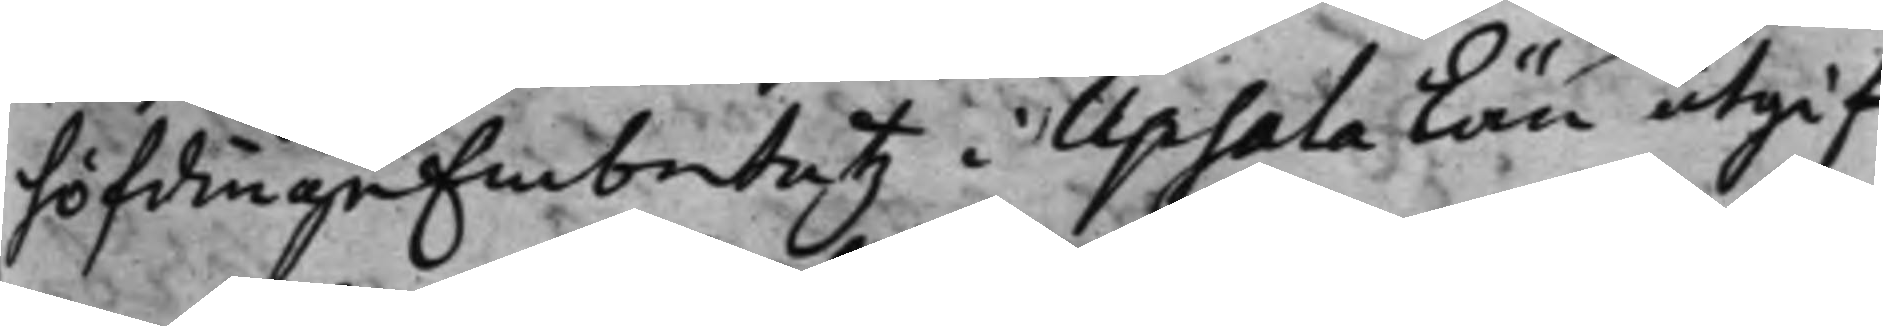höfdingeEmbetetz i Upsala Län utgif¬
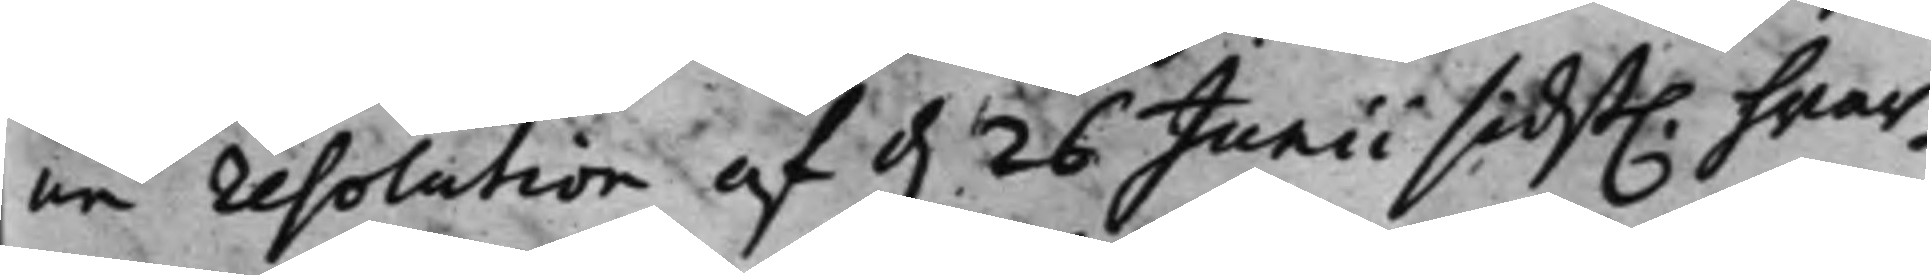ne resolution af d. 26 Junii sidst. hwar¬
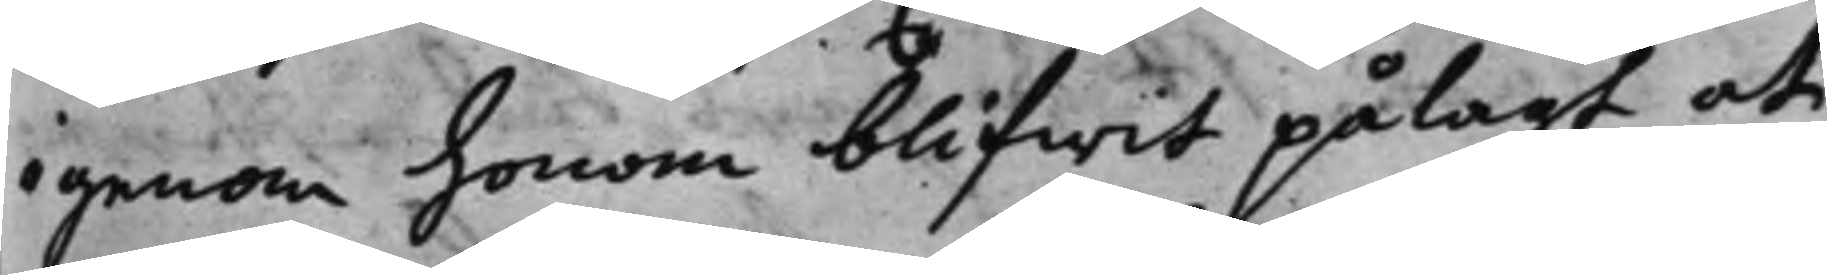igenom honom blifwit pålagt at
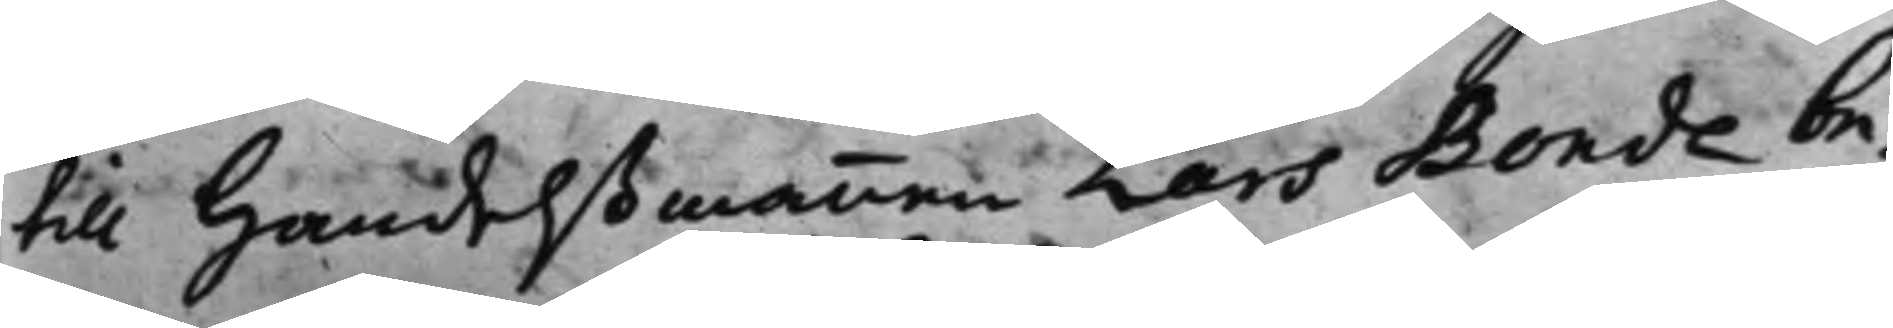till Handelßmannen Lars Bonde be¬
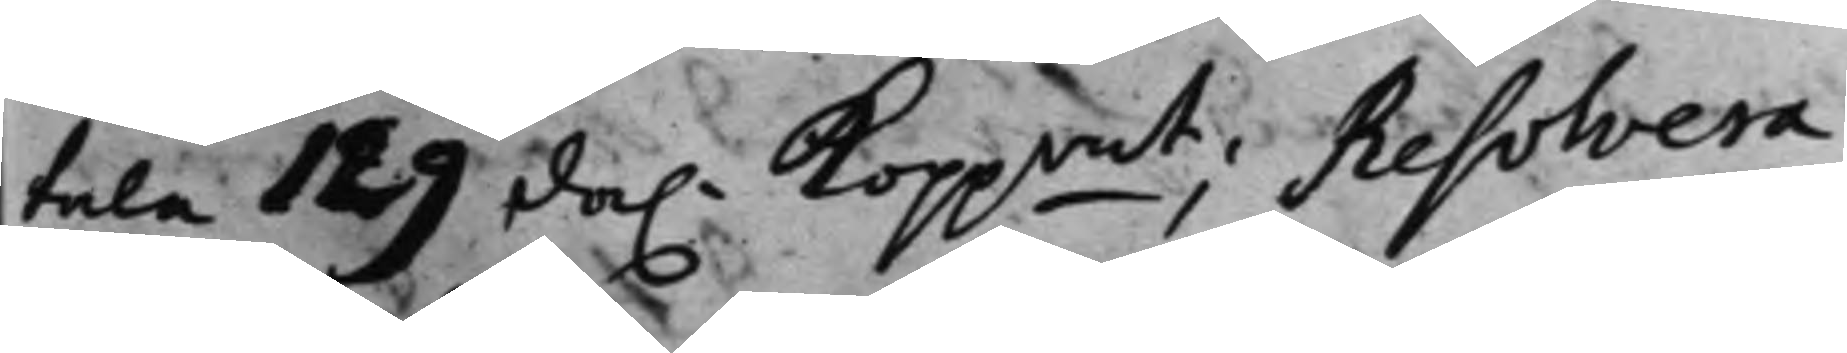tala 129 da. Koppmt; Resolvera¬
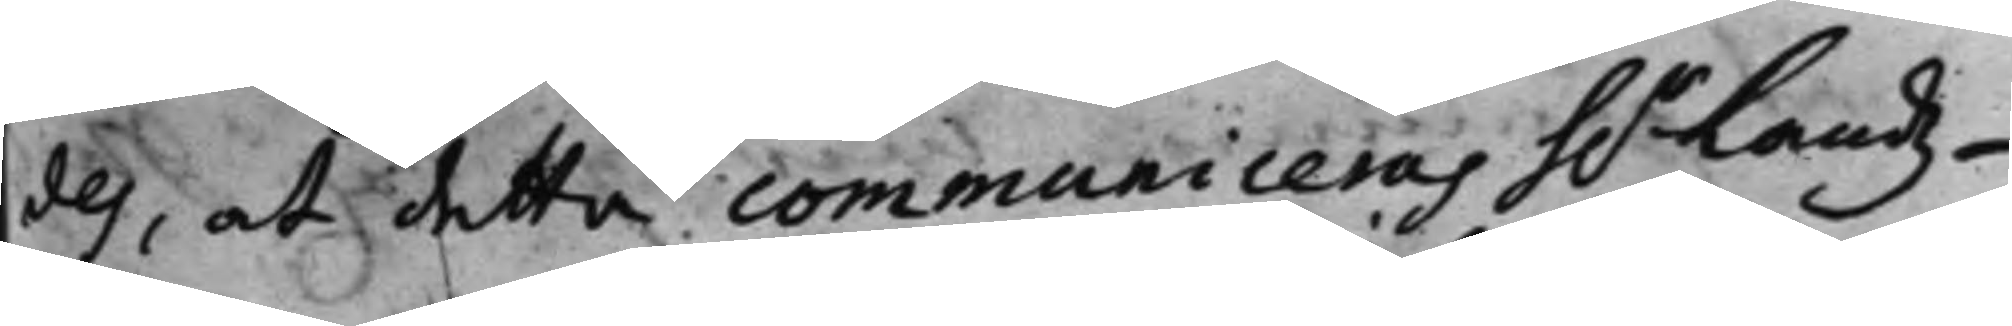des, at detta communiceras h.r Landz¬
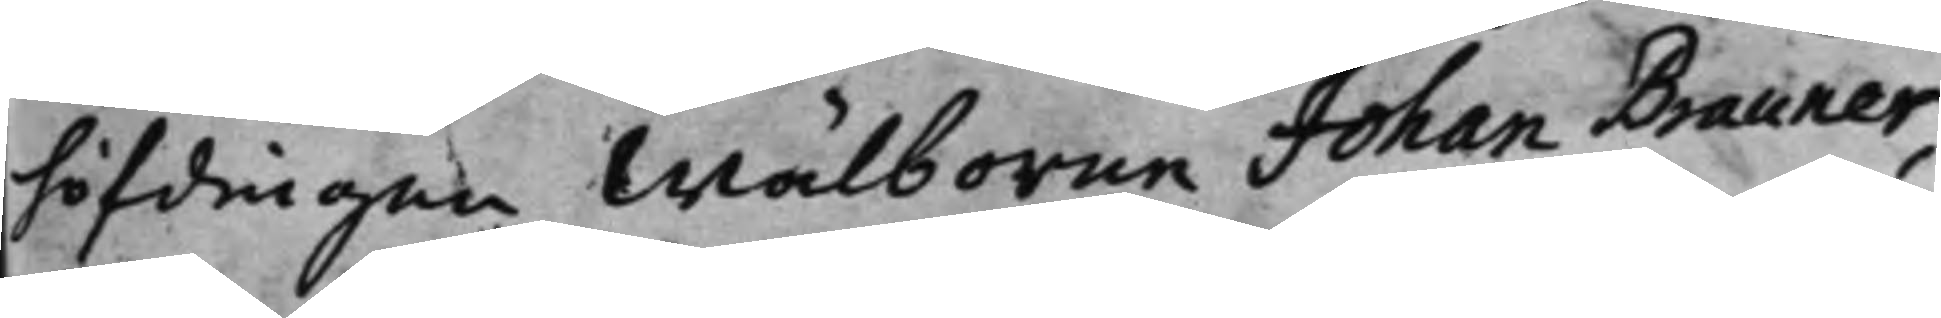höfdingen Wälborne Johan Brauner,
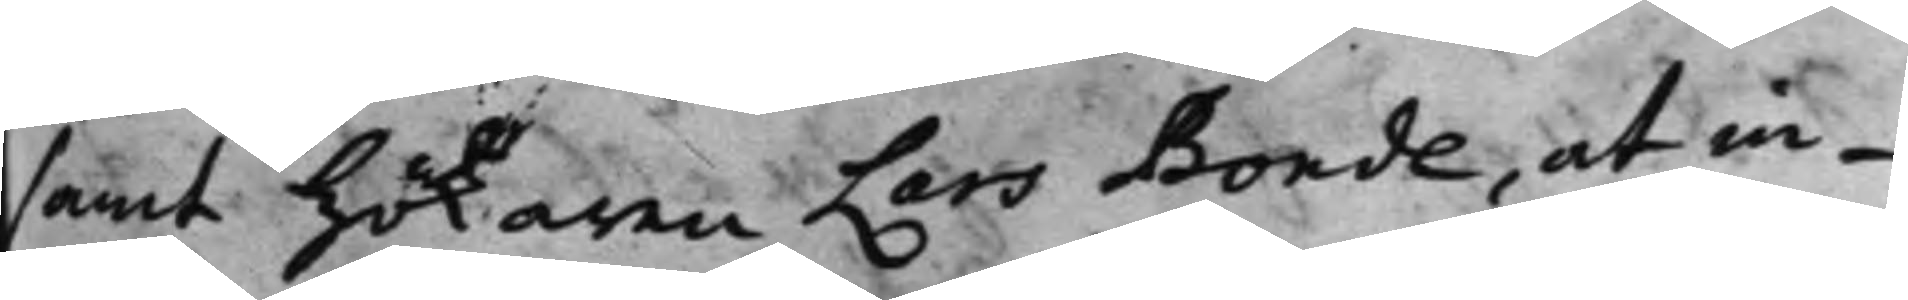samt Hökaren Lars Bonde, at in¬
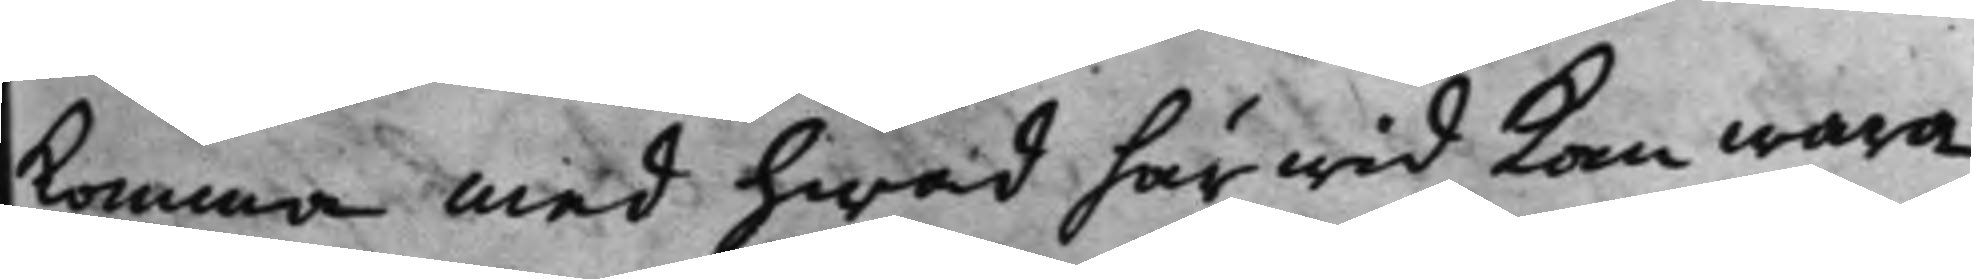komma med hwad härwid kan wara
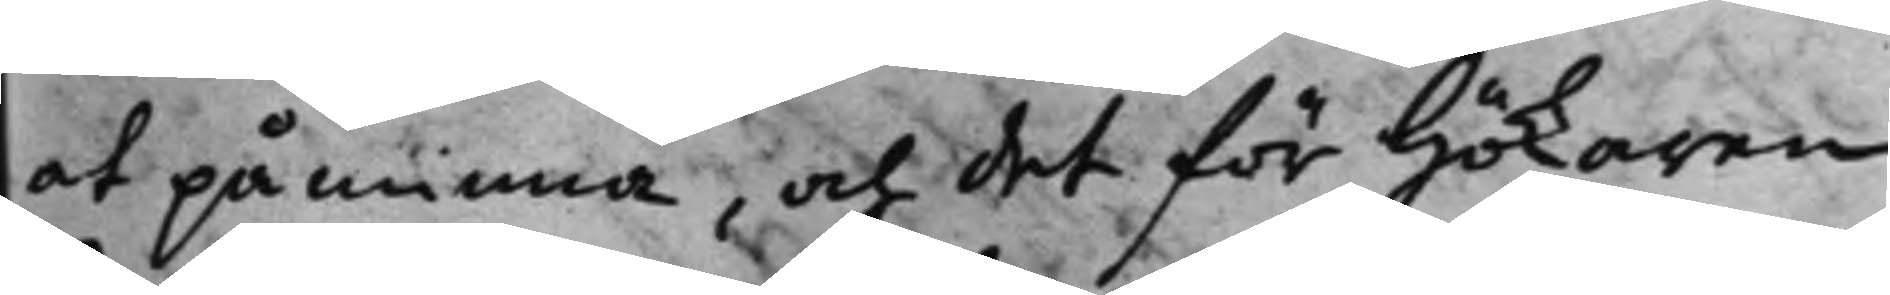at påminna, och det för Hökaren
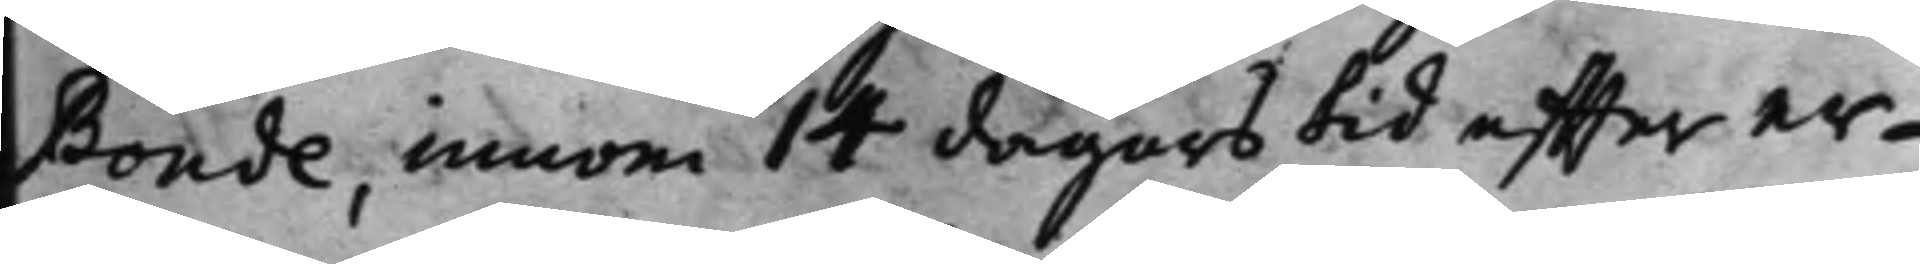Bonde, innom 14 dagars tid effter er¬
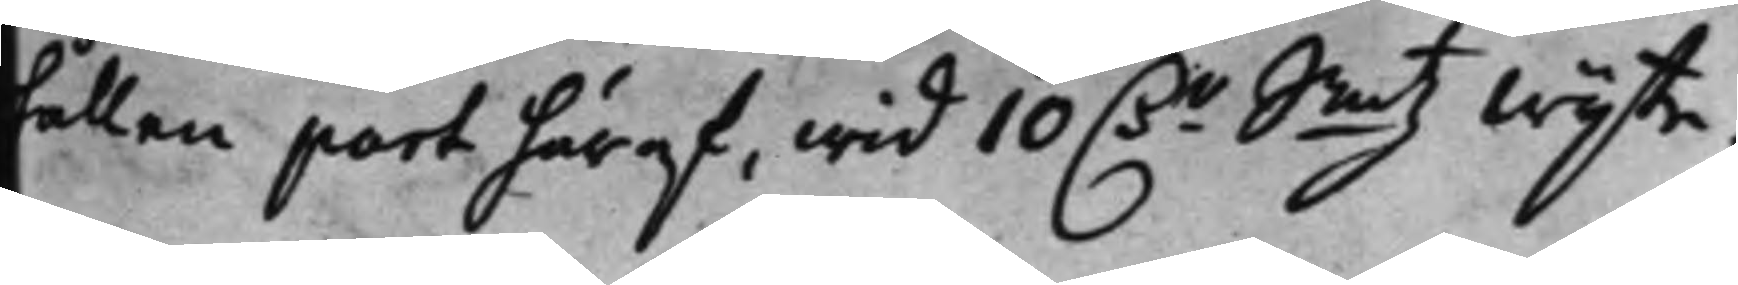hållen part häraf, wid 10 Dr Smtz Wijte.
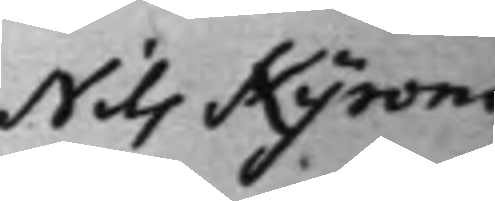Nils Kyroni
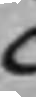C
